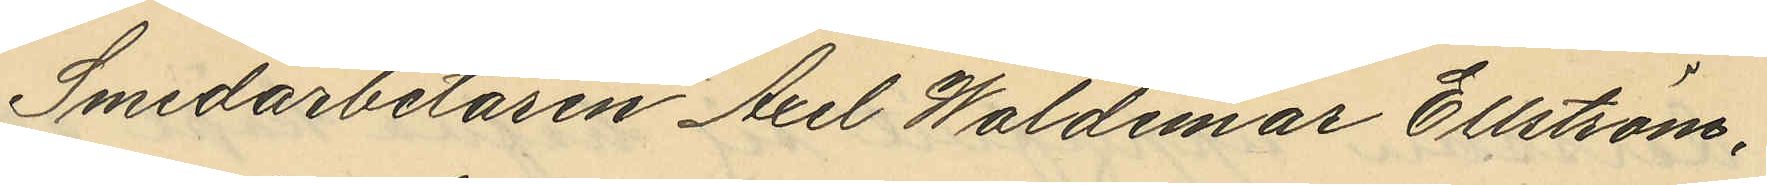Smedarbetaren Axel Waldemar Ellström,
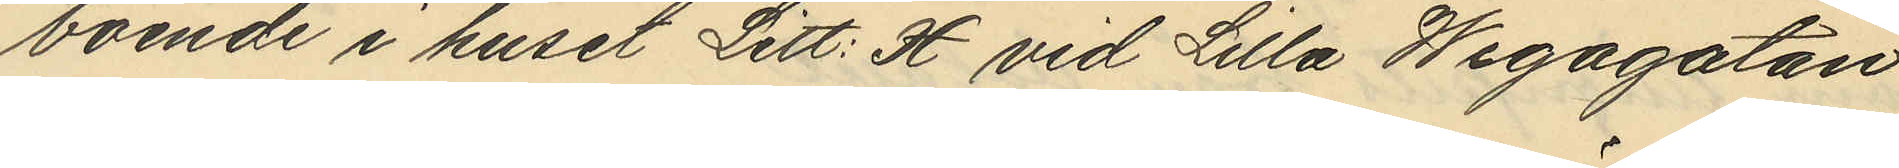boende i huset Litt: H vid Lilla Wegagatan
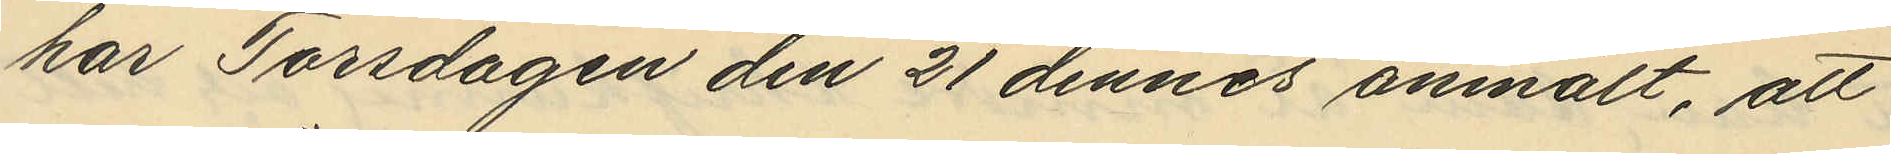har Torsdagen den 21 dennes anmält, att
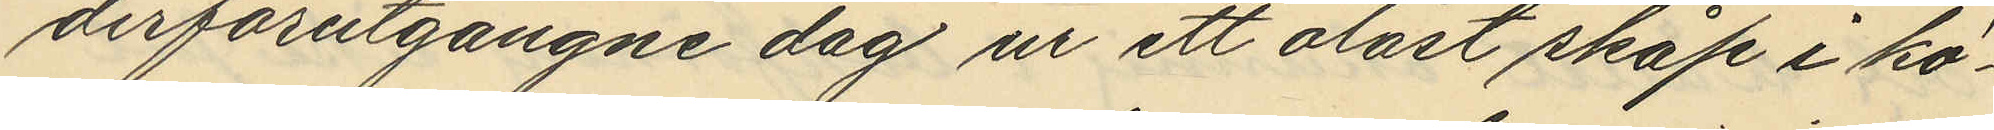derförutgångne dag ur ett olåst skåp i kö¬
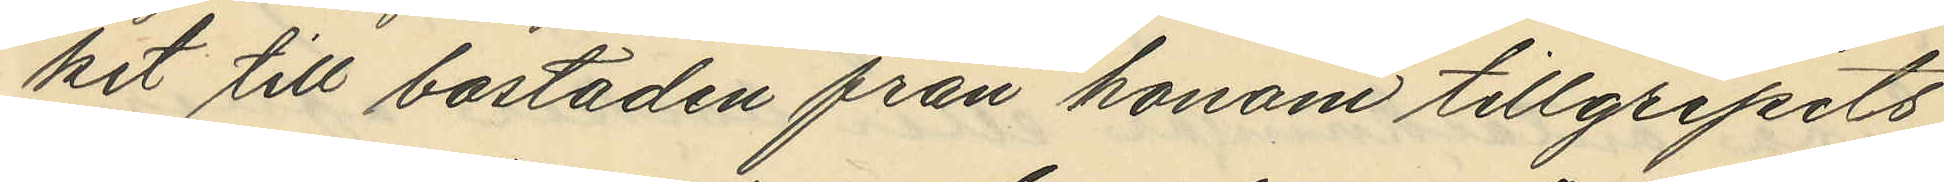ket till bostaden från honom tillgripits
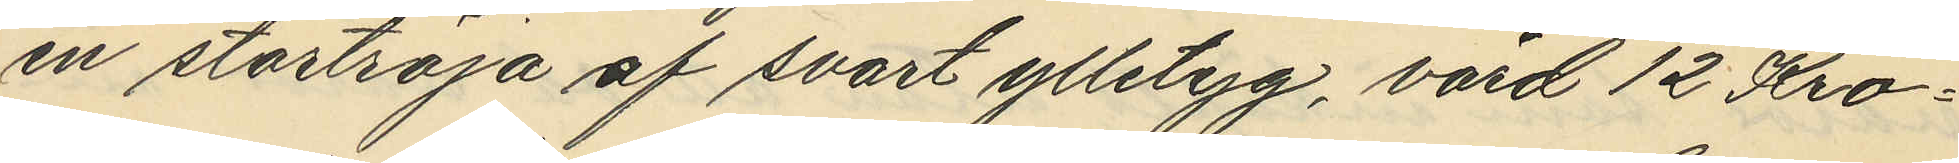en stortröja af svart ylletyg, värd 12 Kro¬
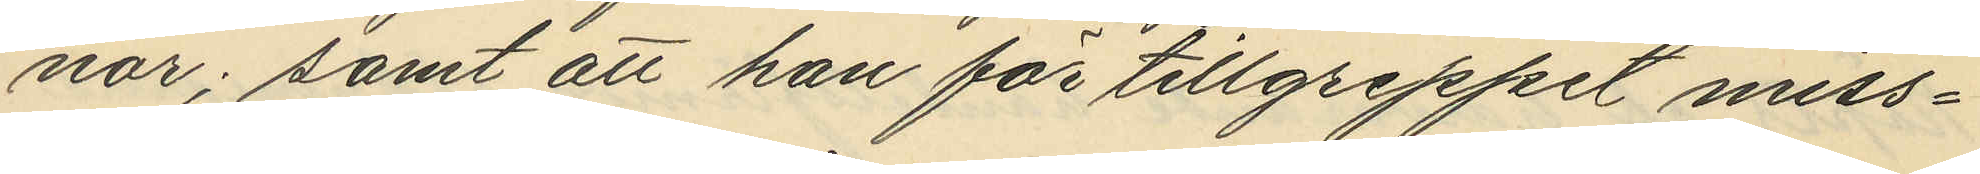nor; samt att han för tillgreppet miss¬
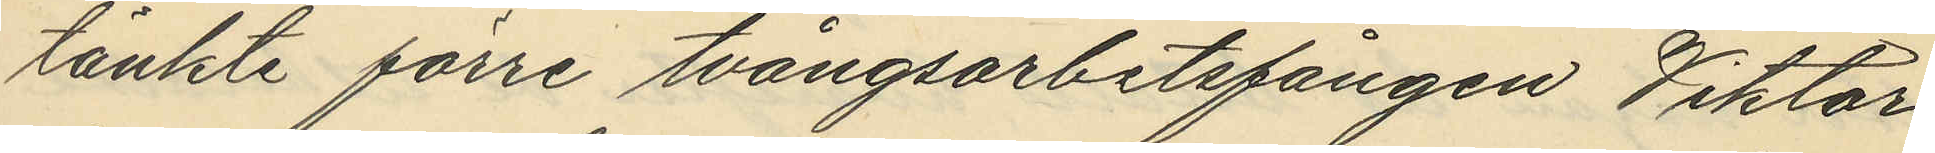tänkte förre tvångsarbetsfången Viktor
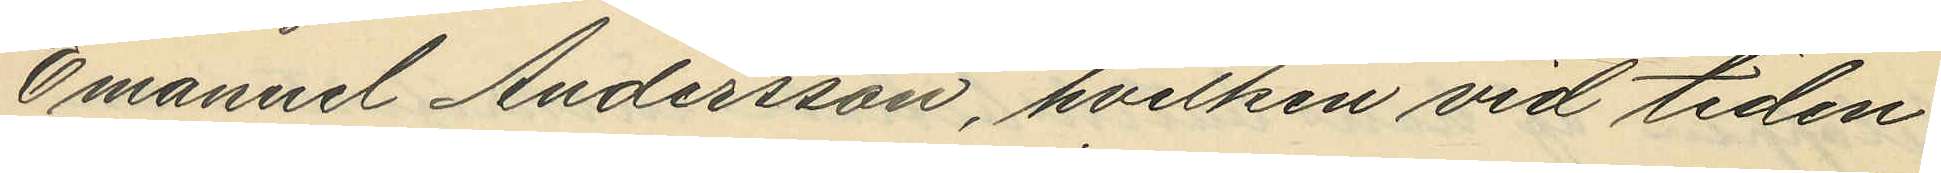Emanuel Andersson, hvilken vid tiden
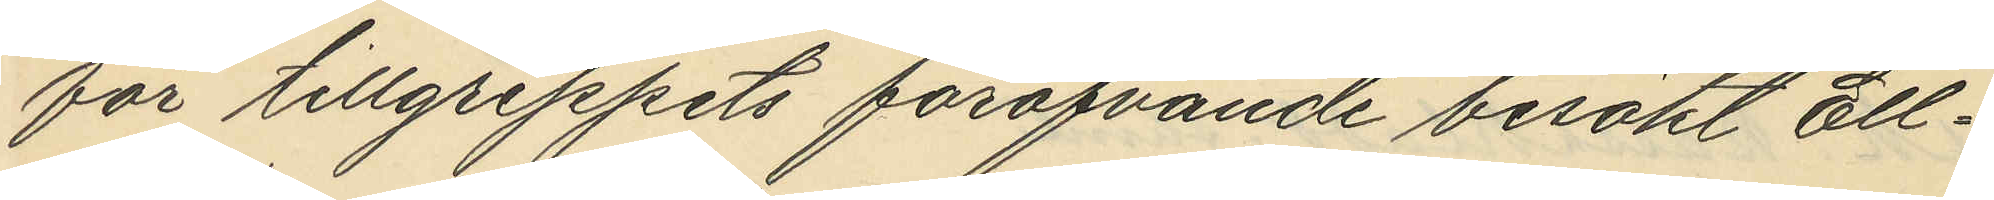för tillgreppets föröfvande besökt Ell¬
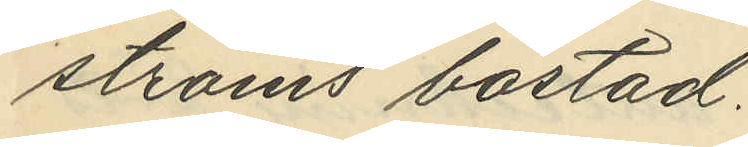ströms bostad.
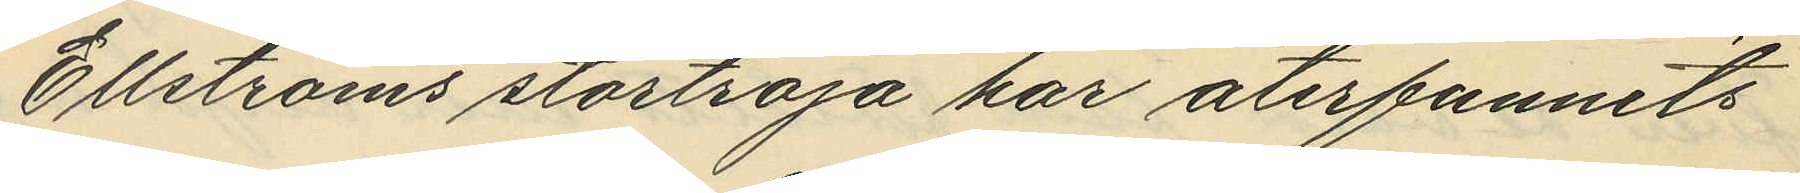Ellströms stortröja har återfunnits
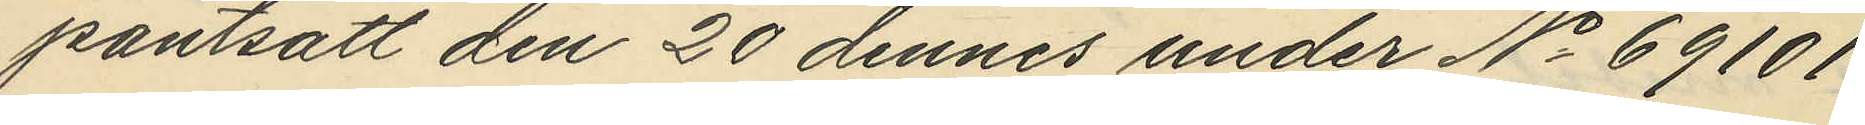pantsatt den 20 dennes under No 69101
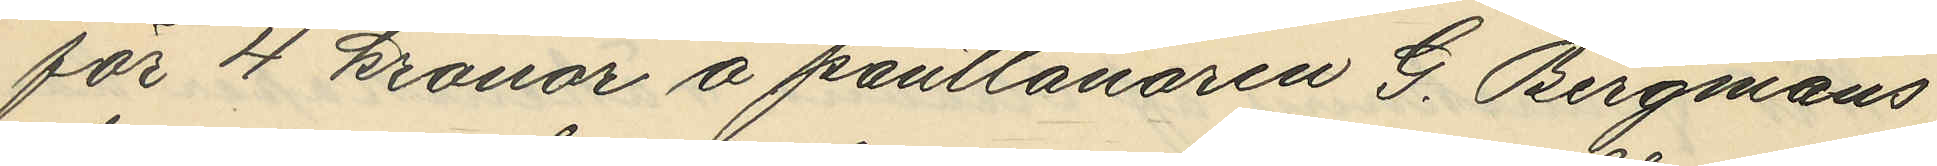för 4 kronor å pantlånaren G. Bergmans
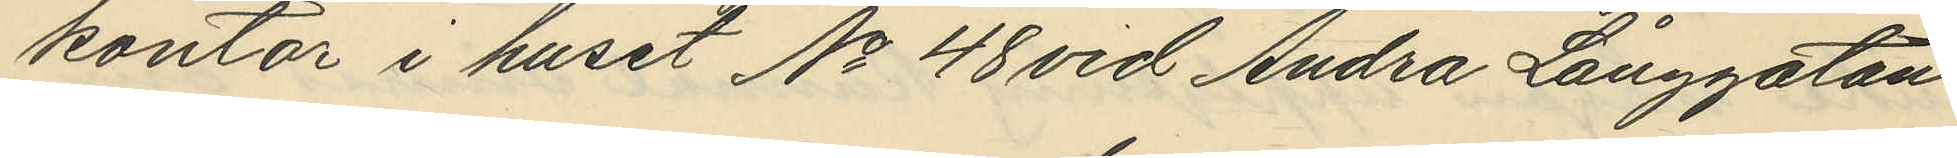kontor i huset No 48 vid Andra Långgatan
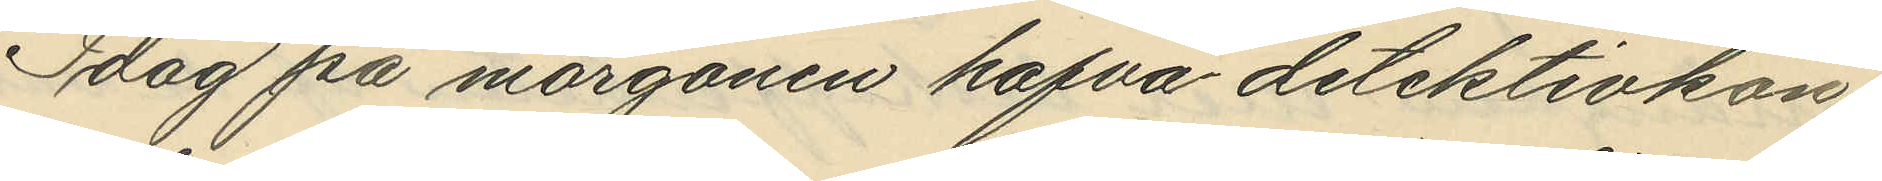Idag på morgonen hafva detektivkon¬
